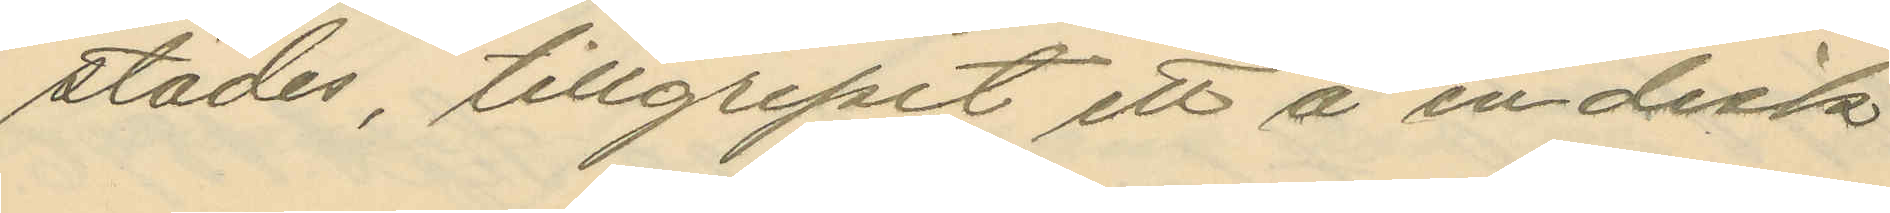städes, tillgripit ett å en disk
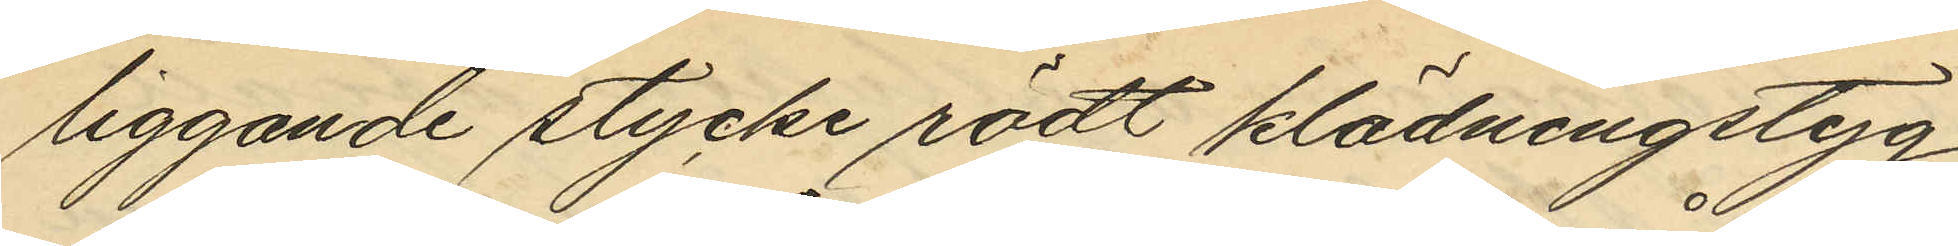liggande stycke rödt klädningstyg,
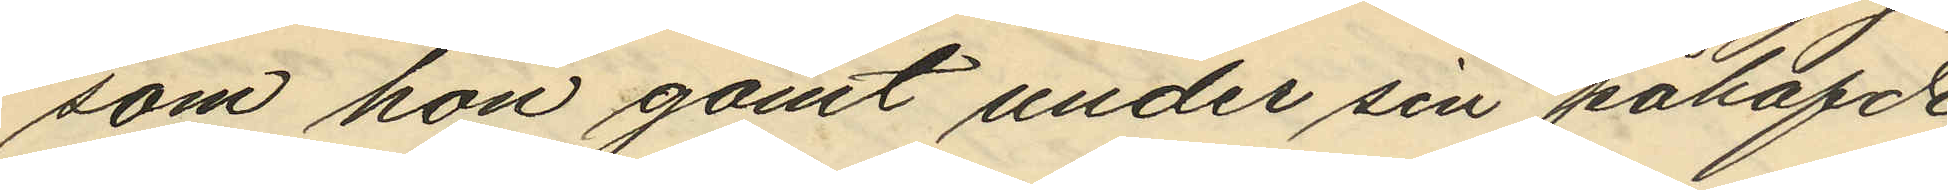som hon gömt under sin påhafde
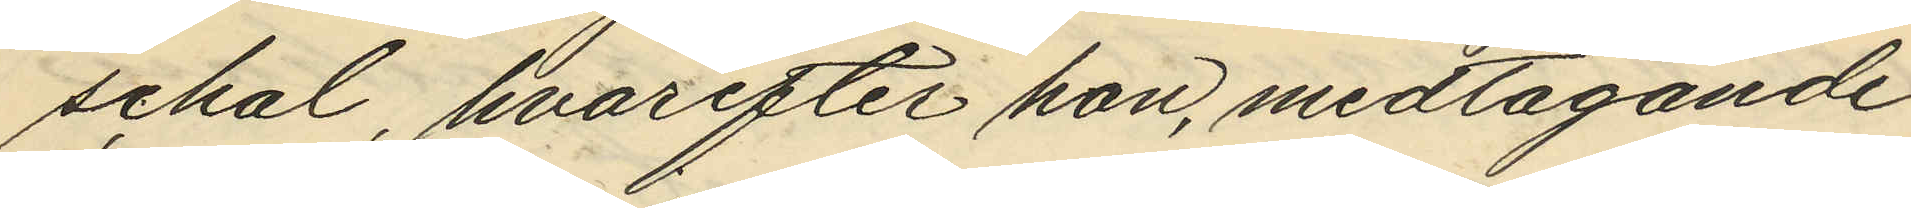schal, hvarefter hon, medtagande
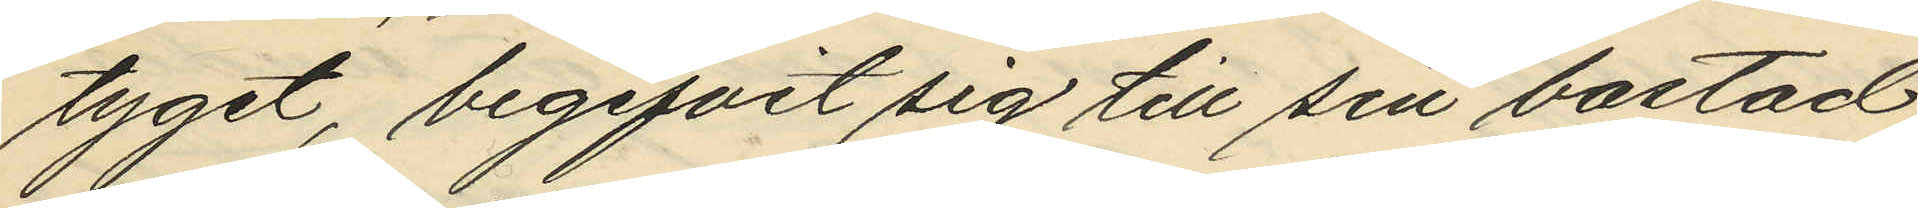tyget, begifvit sig till sin bostad;
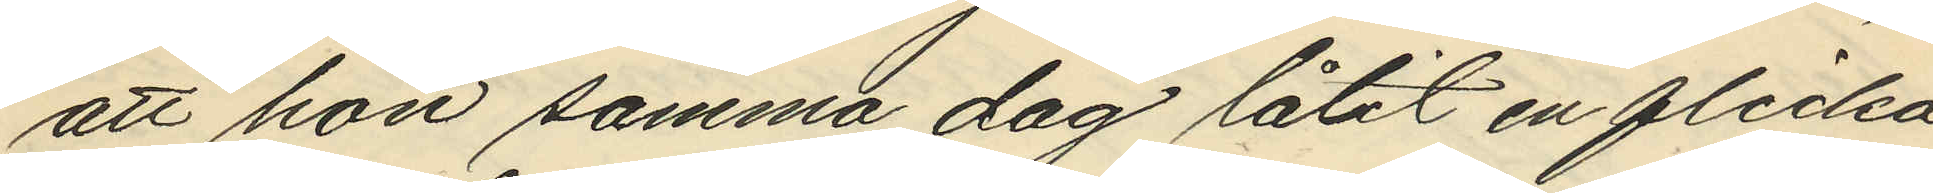att hon samma dag låtit en flicka
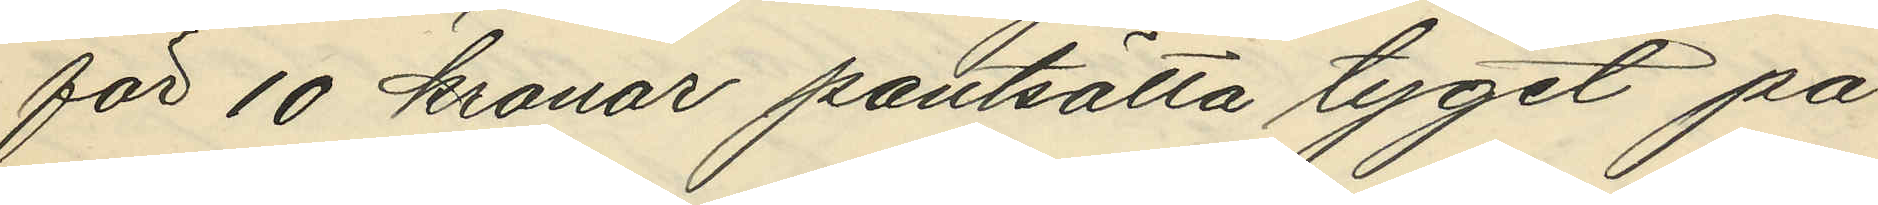för 10 kronor pantsätta tyget på
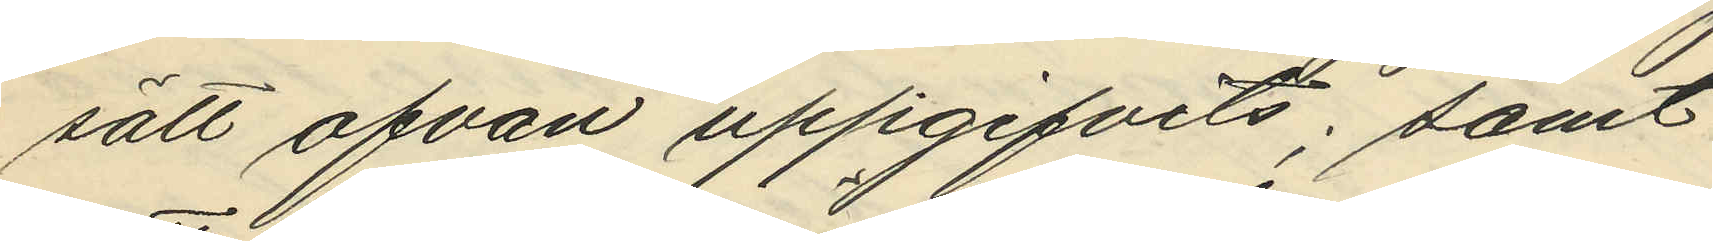sätt ofvan uppgifvits; samt
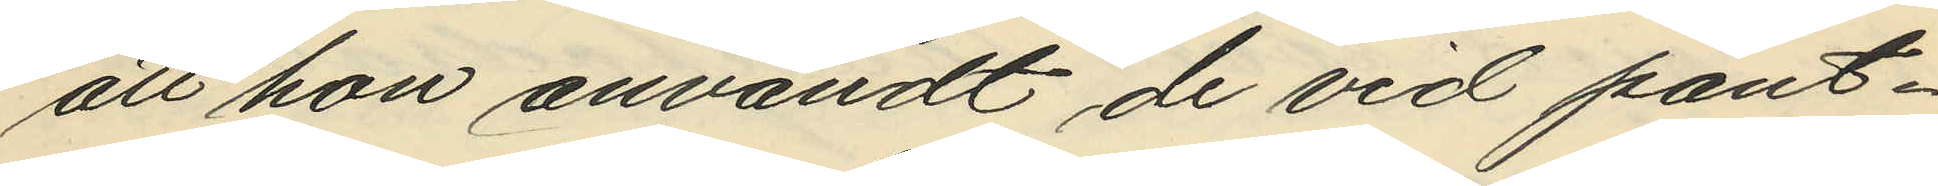att hon användt de vid pant¬
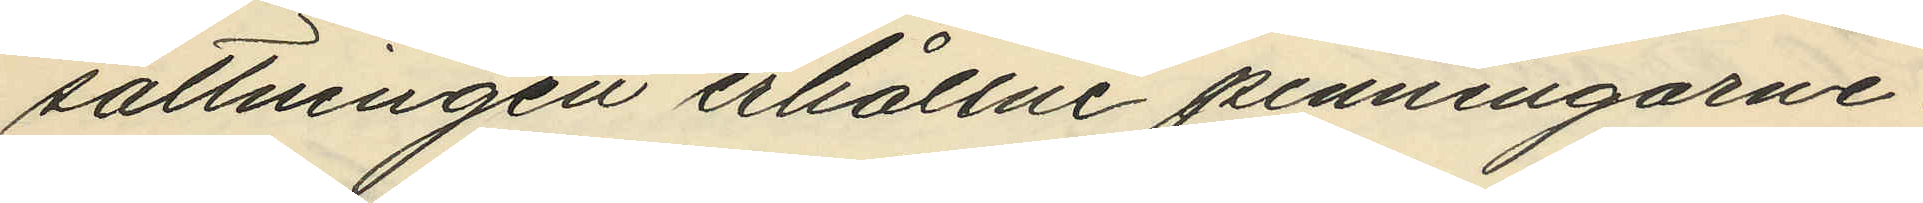sättningen erhållne penningarne,
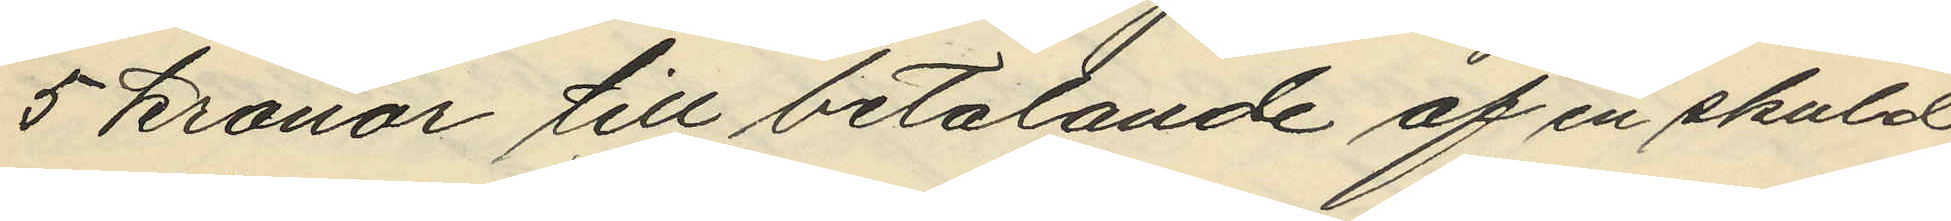5 kronor till betalande af en skuld
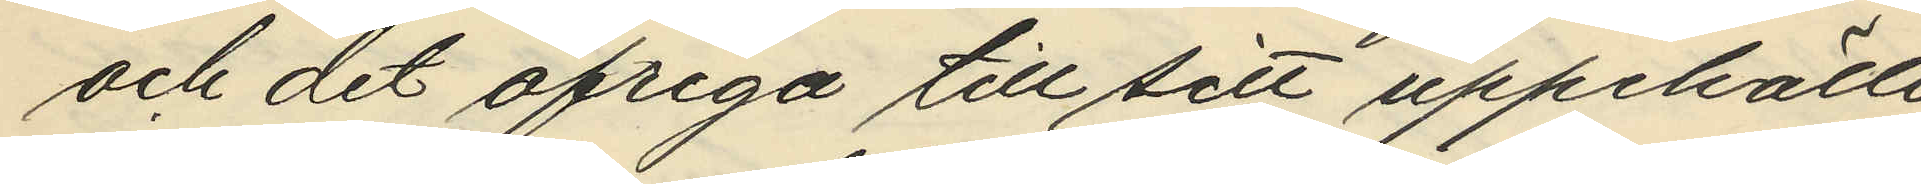och det öfriga till sitt uppehälle
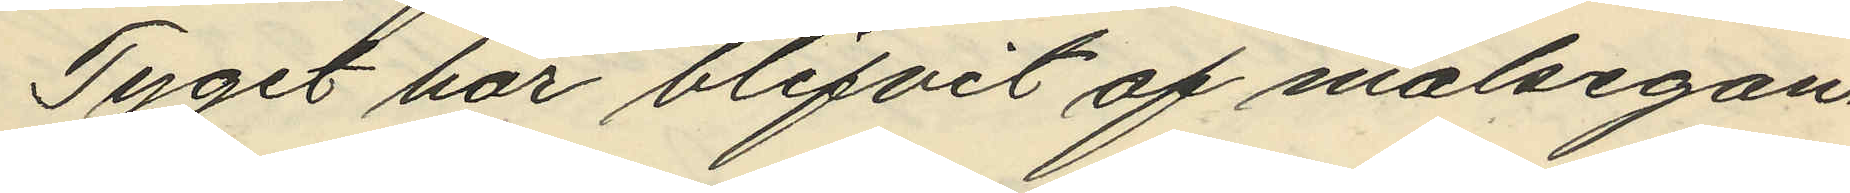Tyget har blifvit af målsegan¬
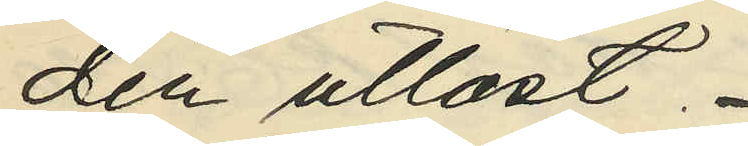den utlöst.
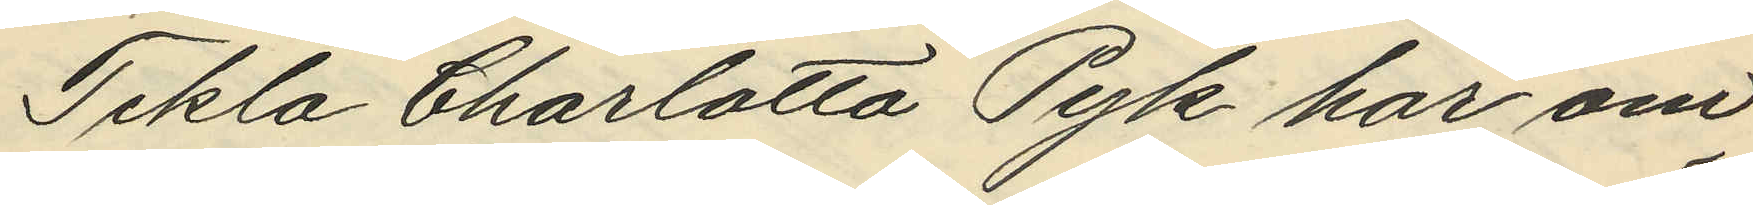Tekla Charlotta Pyk har om
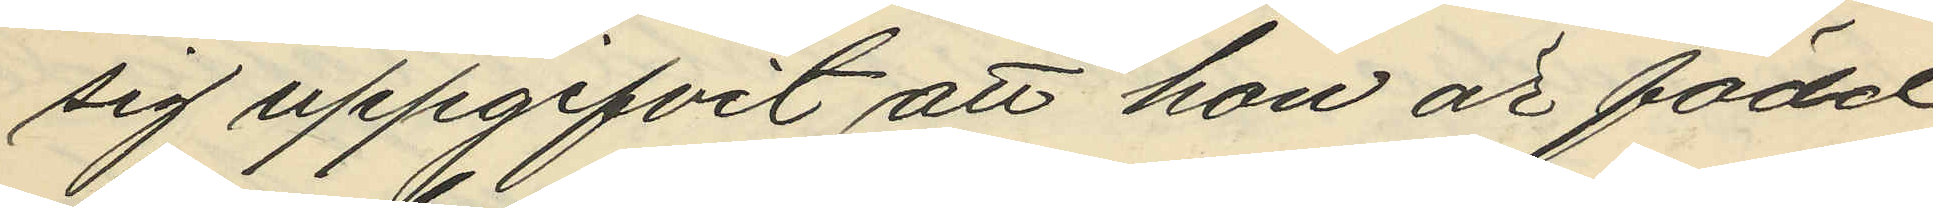sig uppgifvit att hon är född
